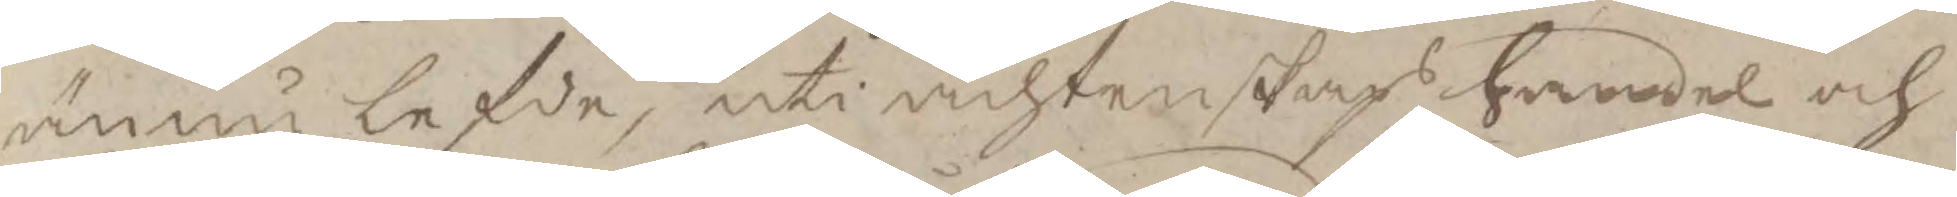ännu lefde, uti ächtenskap handel och
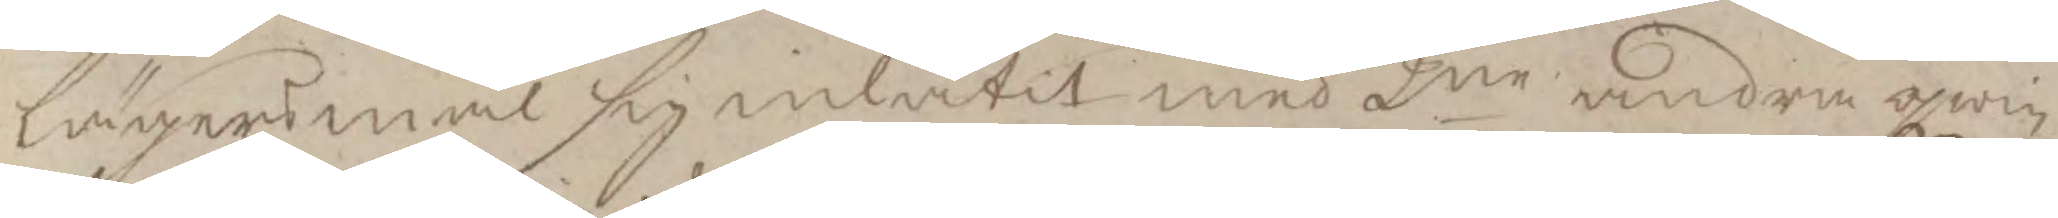lägermål sig inlåtit med 2ne andra qwin¬
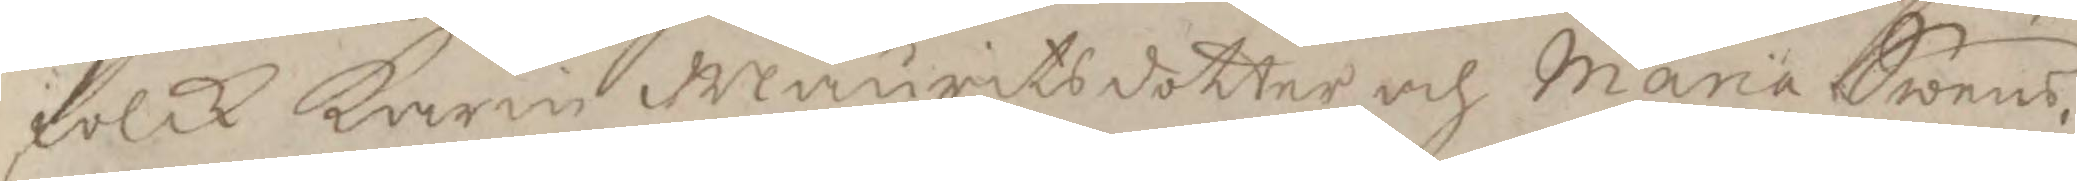folck Karin Mauritsdotter och Maria Swens¬
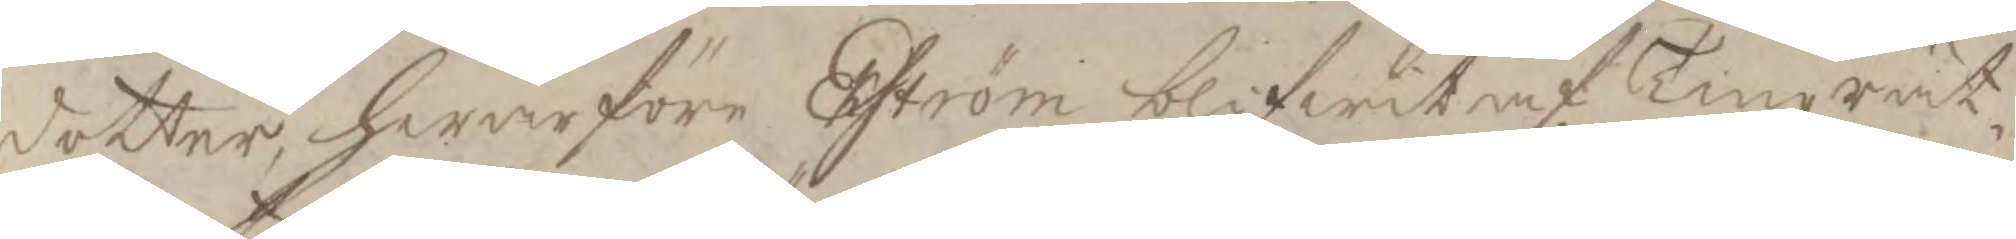dotter, hwarföre Eström blifwit af Tingrät¬
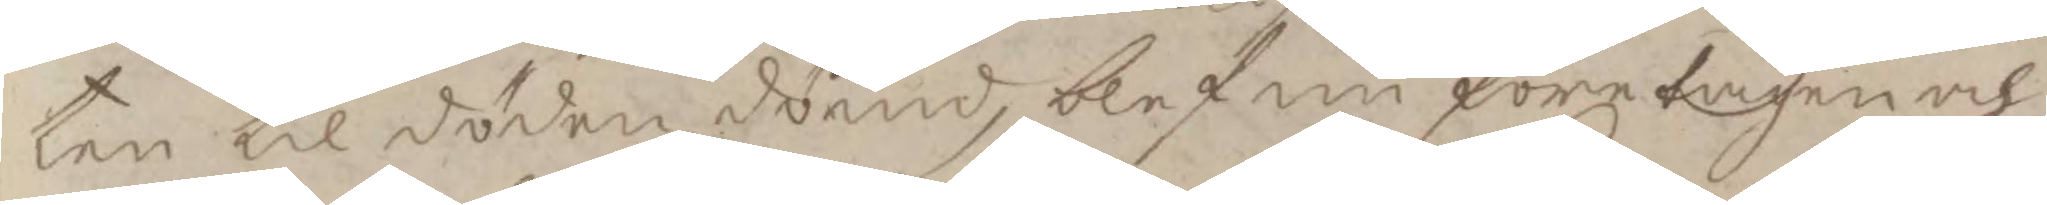ten til döden dömd, blef nu företagen och
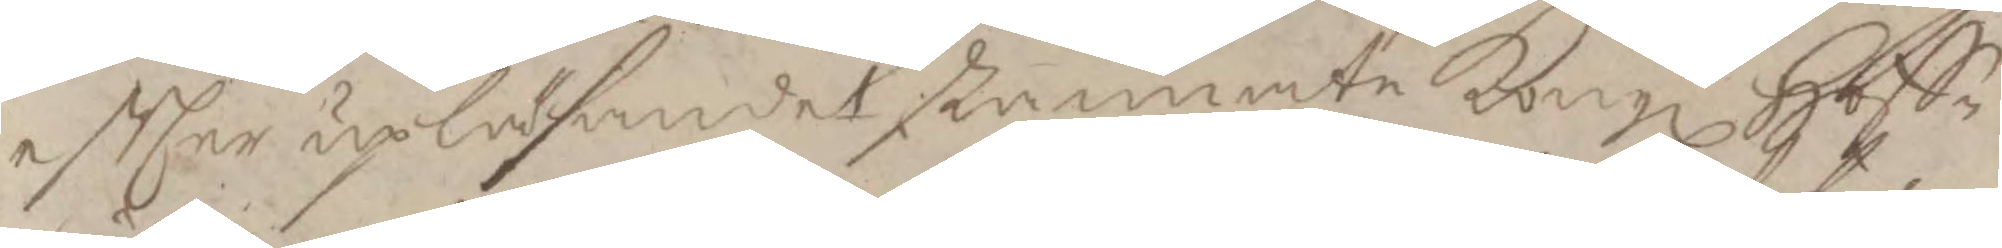eftEer upläsandet stannate Kongl. Hoff¬ 
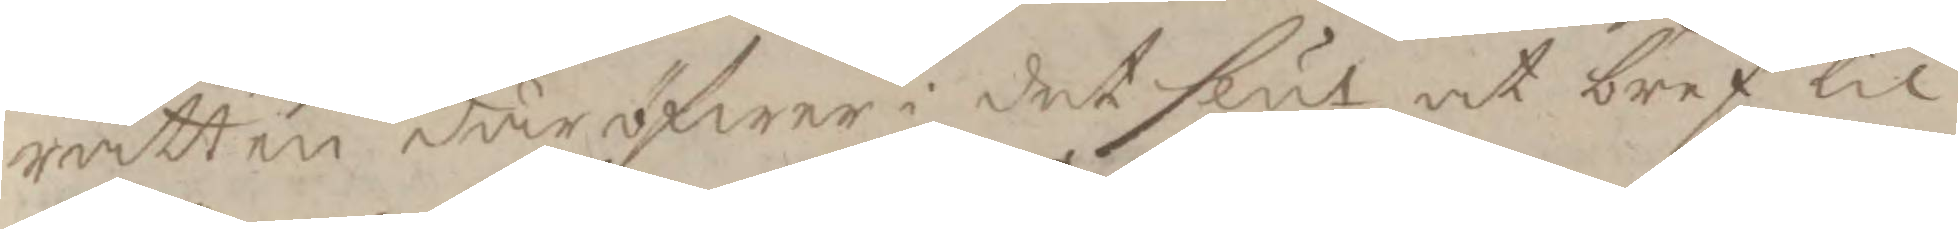rätten däröfwer i det slut at bref til
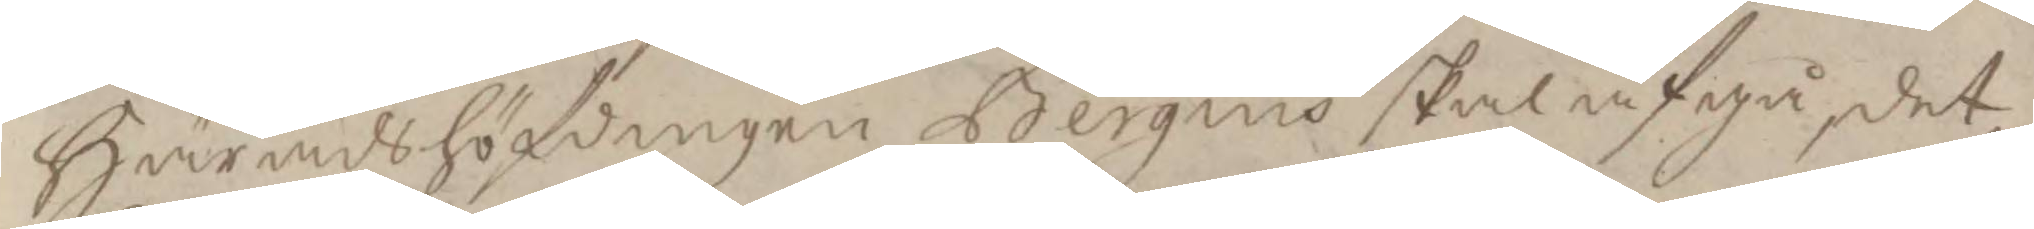Häradshöfdingen Bergius skal afgå, det
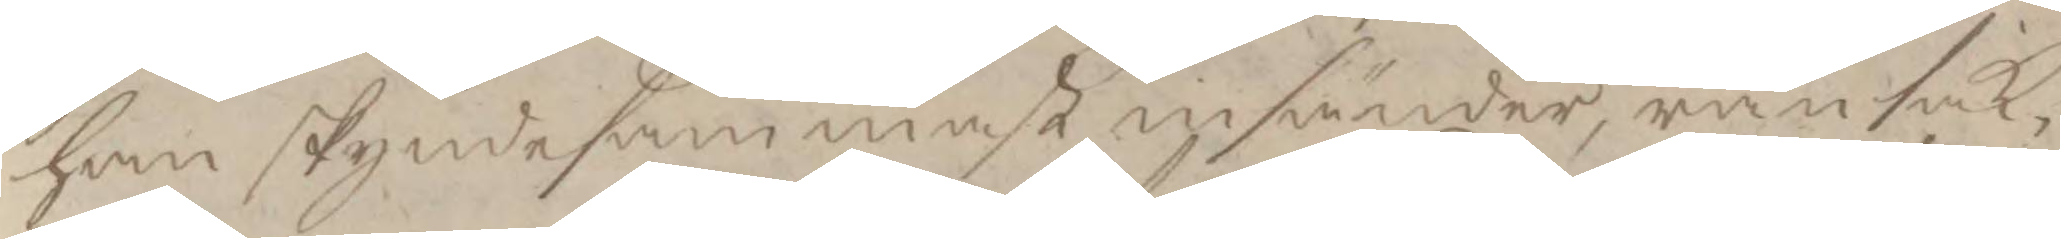han skyndesammast insänder, ransak¬
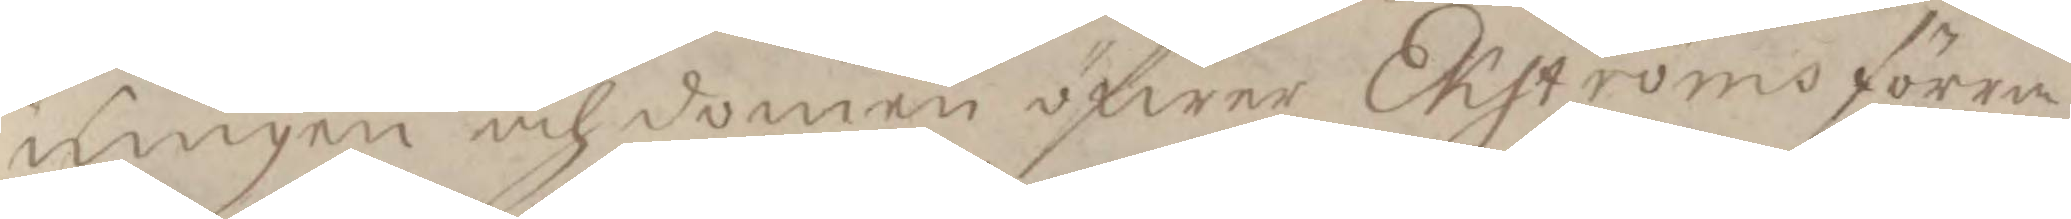ningen och domen öfwer Ekströms förra
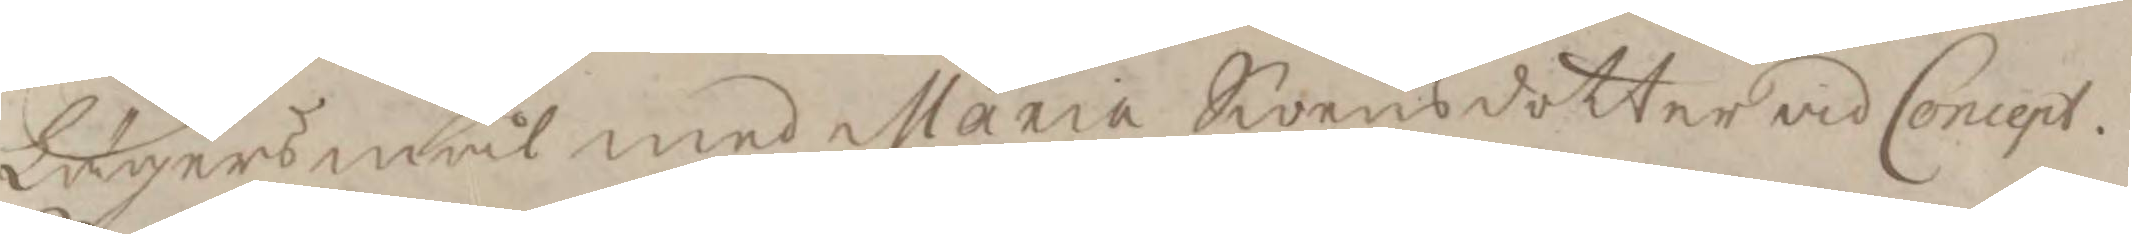lägersmål med Maria Swensdotter vid Concept.
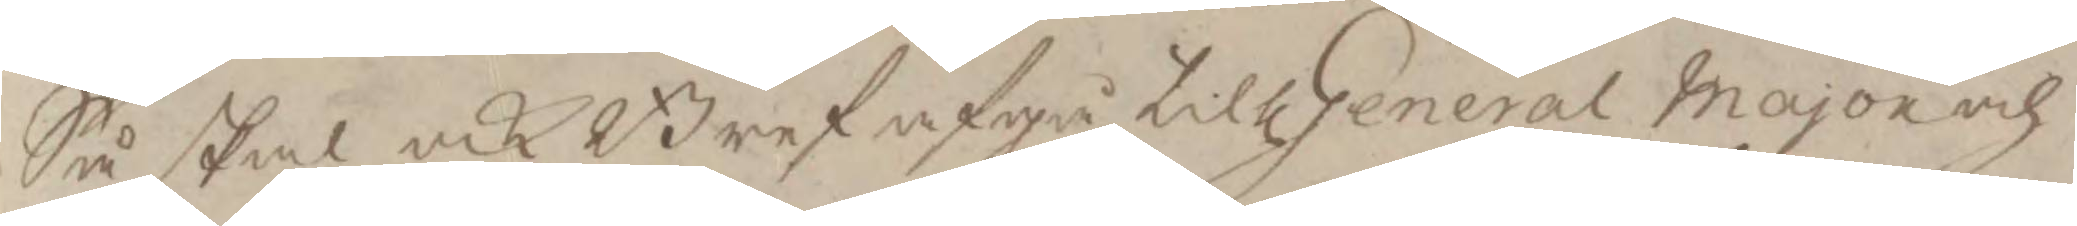Så skal ock Bref afgå till General Major och
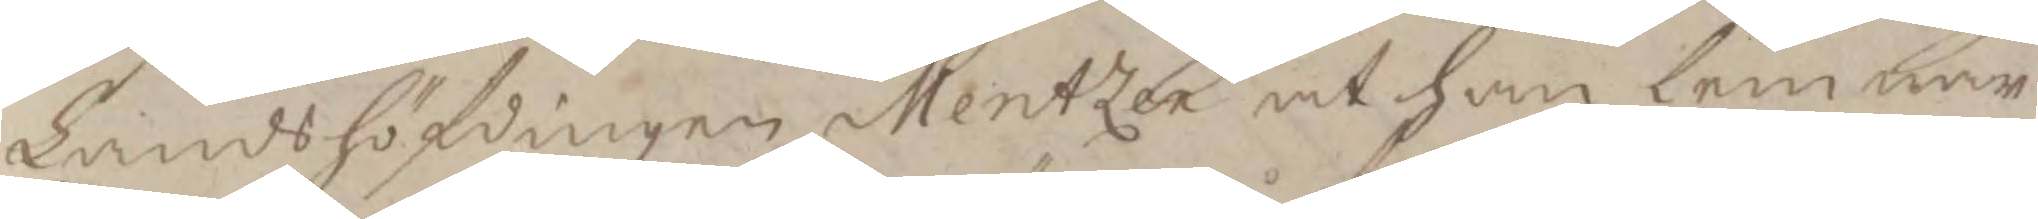Landshöfdingen Mentzer at han lemnar
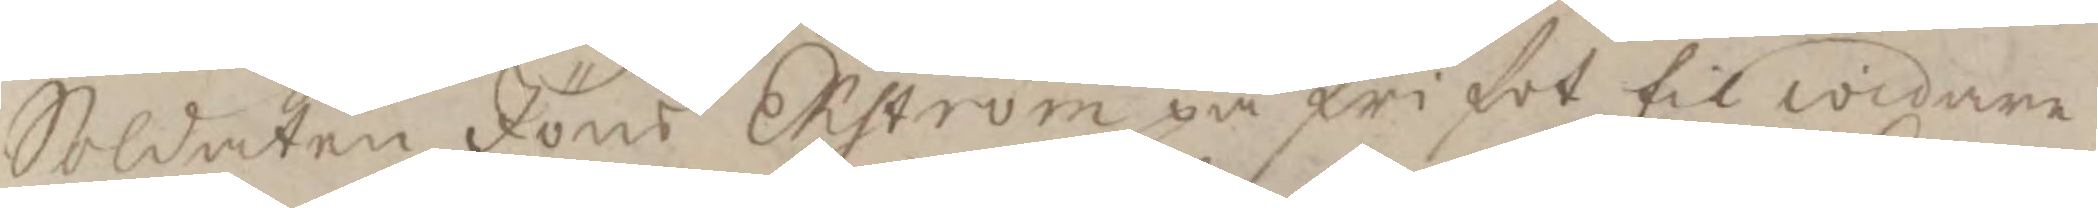Soldaten Jöns Ekström på fri fot til widare
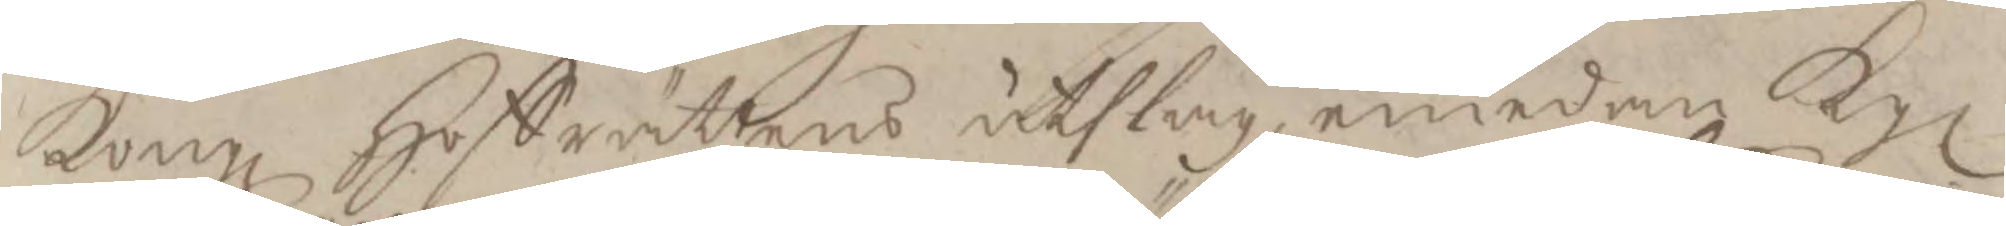Kongl Hoffrättens uthslag emedan Kgl 
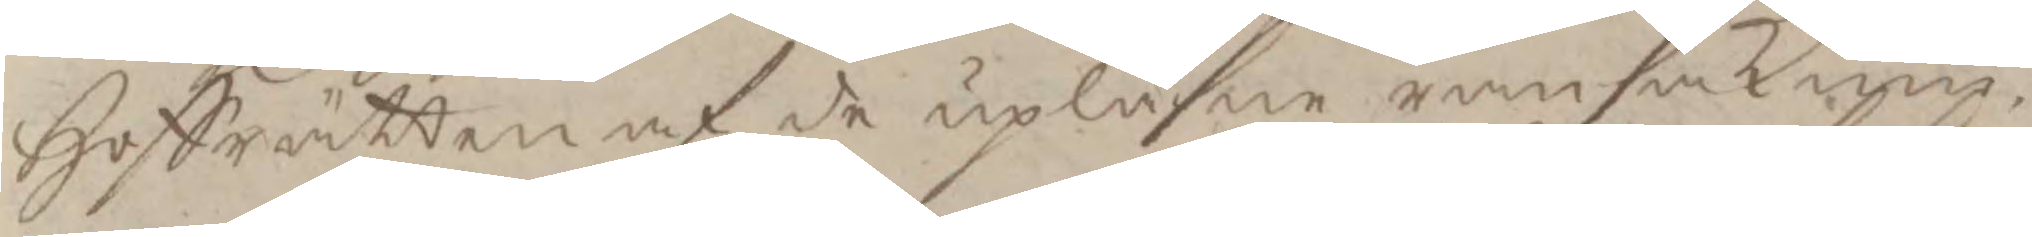Hoffrätten af de upläsne ransaknin¬
